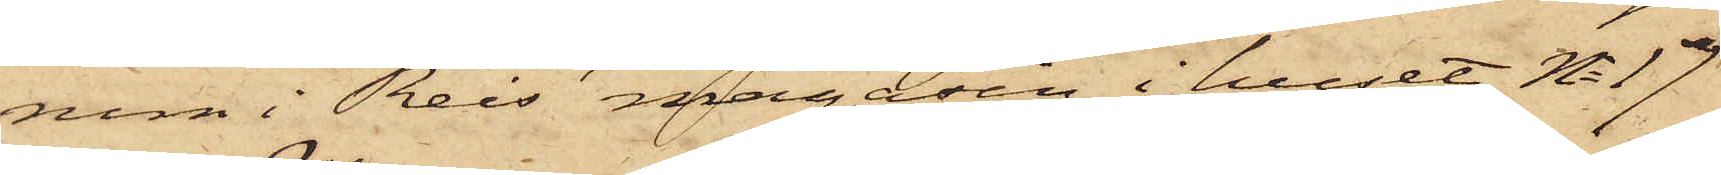rum i Reis' magasin i huset No 17
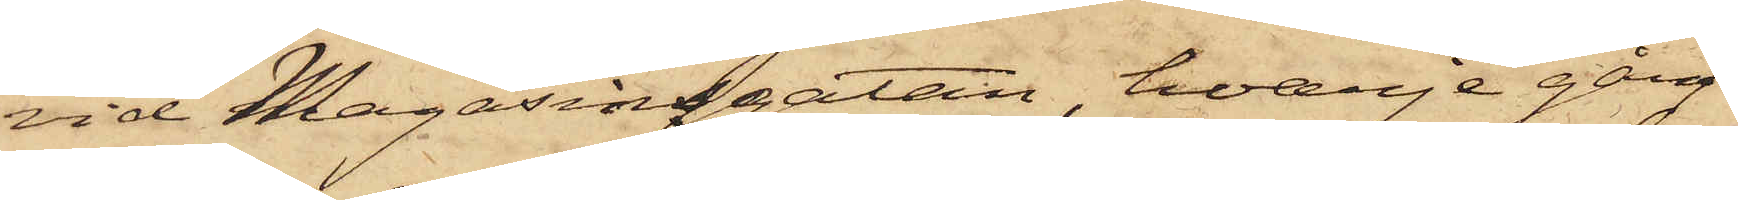vid Magasinsgatan, hvarje gång
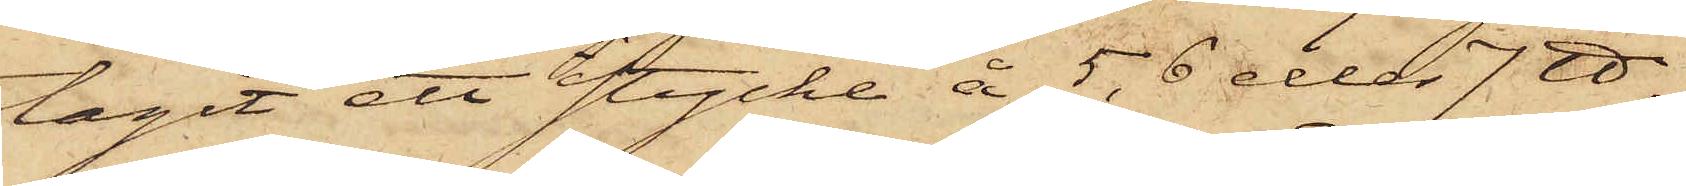tagit ett stycke å 5, 6 eller 7 ℔,
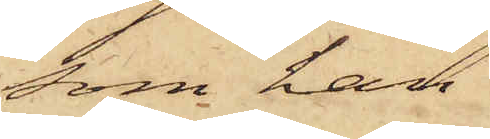som han
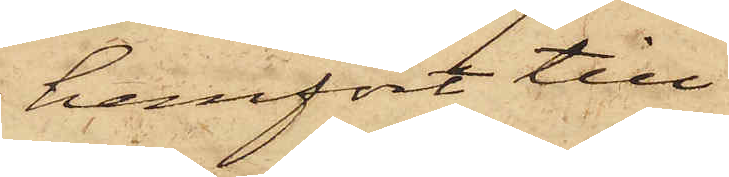hemfört till
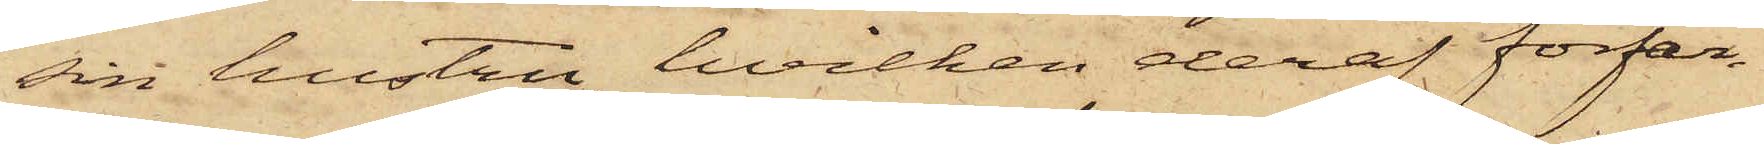sin hustru, hvilken deraf förfär¬
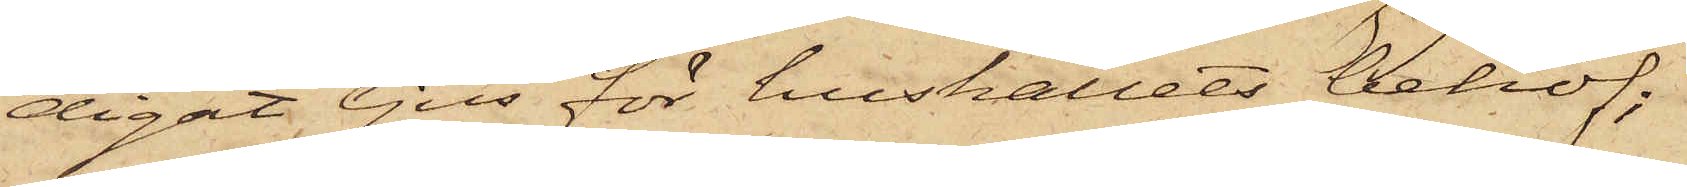digat ljus för hushållets behof;
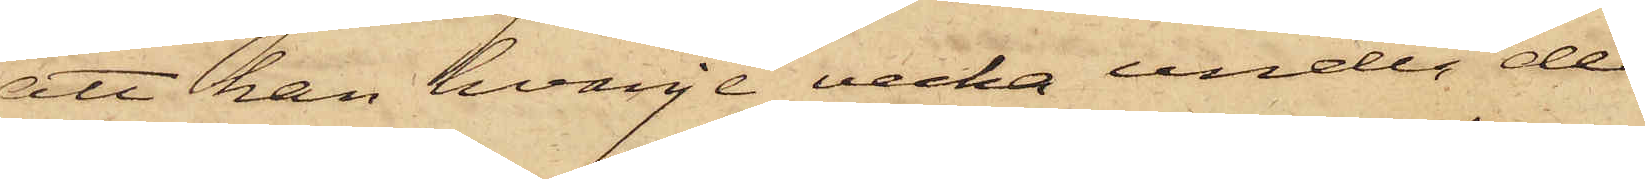att han hvarje vecka under de
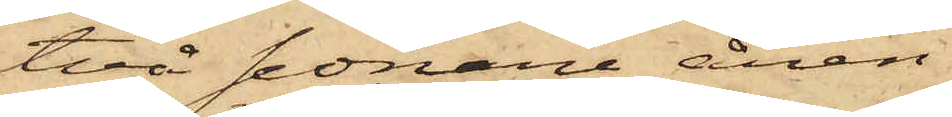två sednare åren
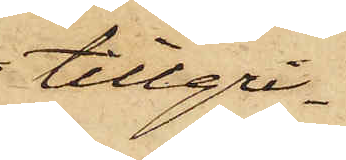tillgri¬
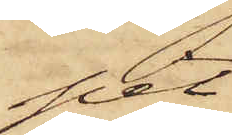pit
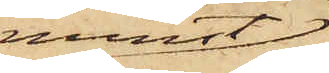minst
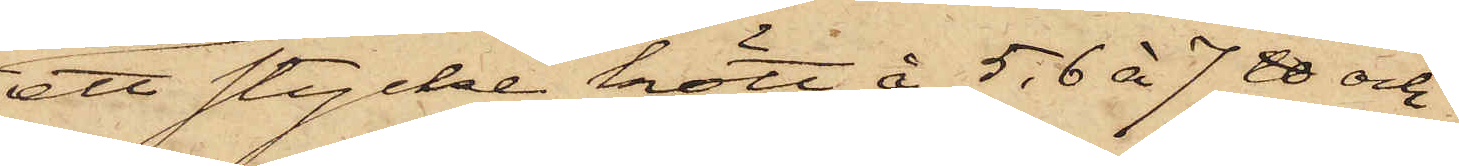ett stycke kött å 5, 6 à 7 ℔ och
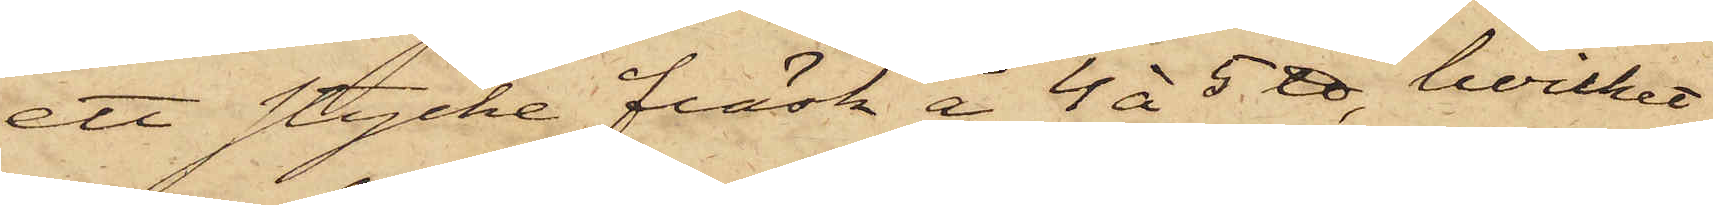ett stycke fläsk å 4 à 5 ℔, hvilket
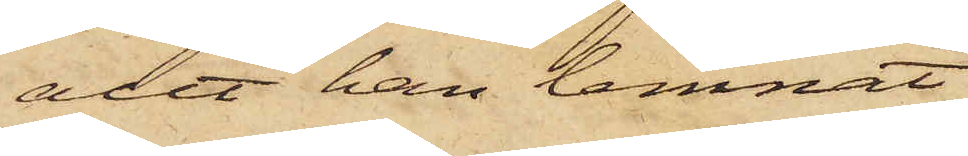allt han lemnat
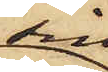sin
